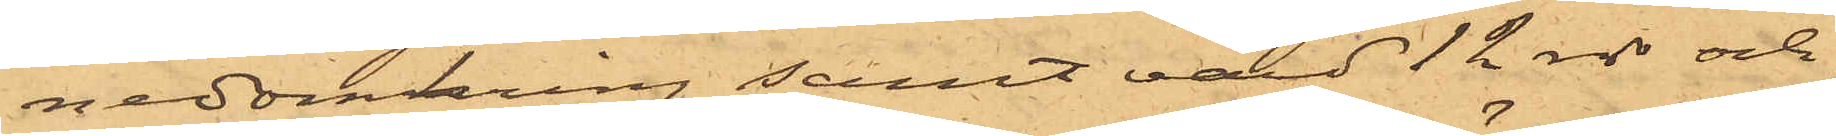nedomkring samt värd 12 rdr och
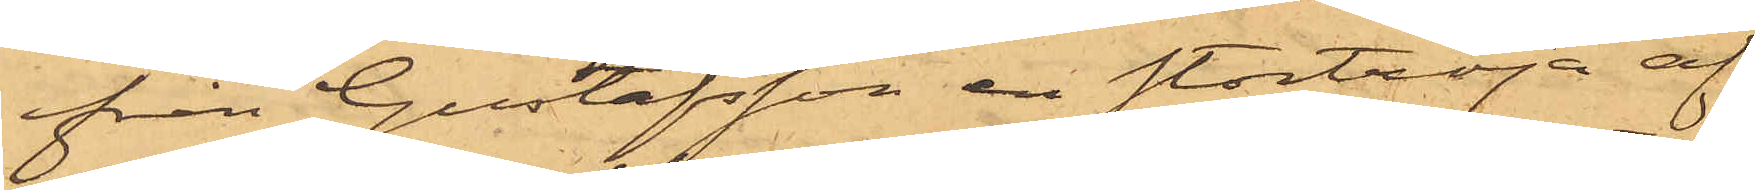ifrån Gustafsson en stortröja af
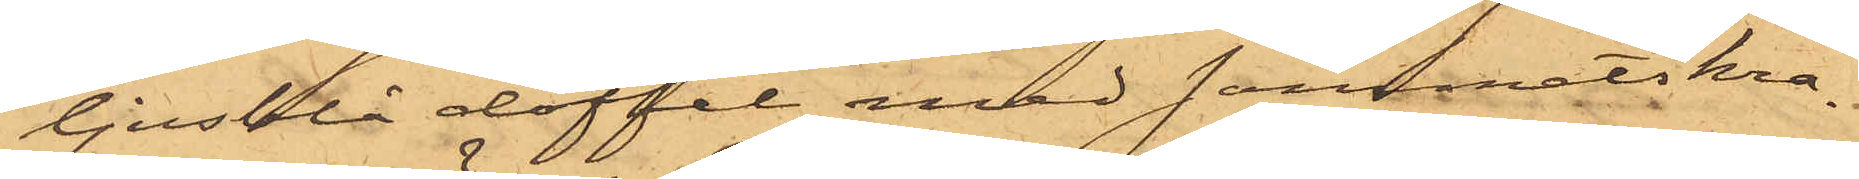ljusblå doffel med sammetskra¬
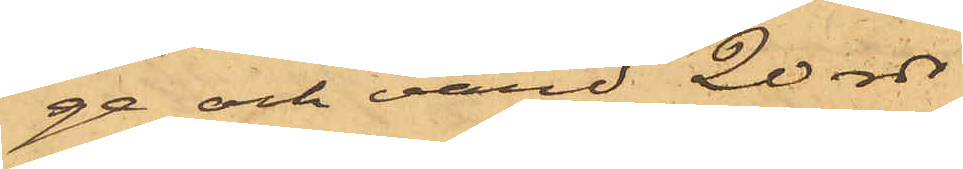ge och värd 20 rdr
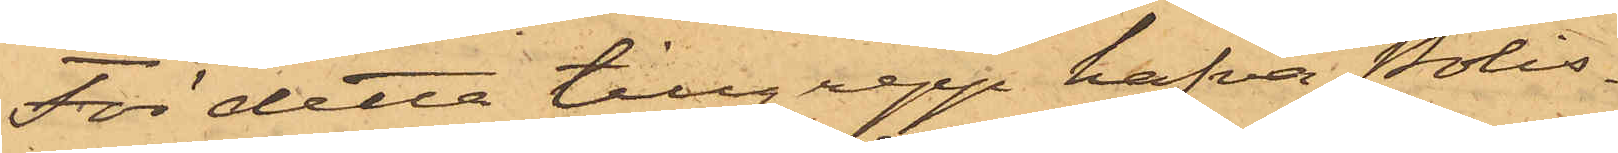För detta tillgrepp hafva Polis¬
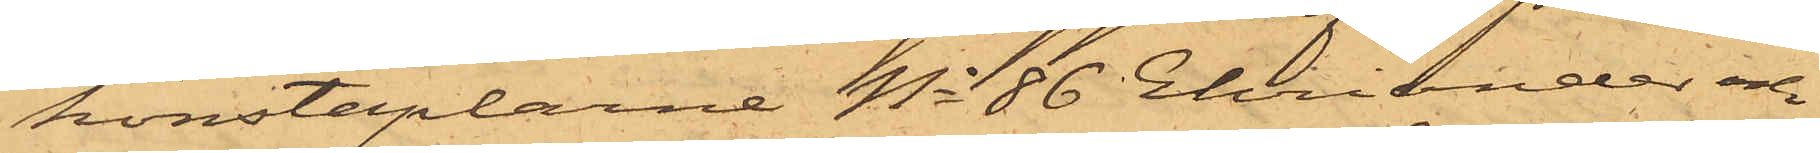konstaplarne No 86 Ehriander och
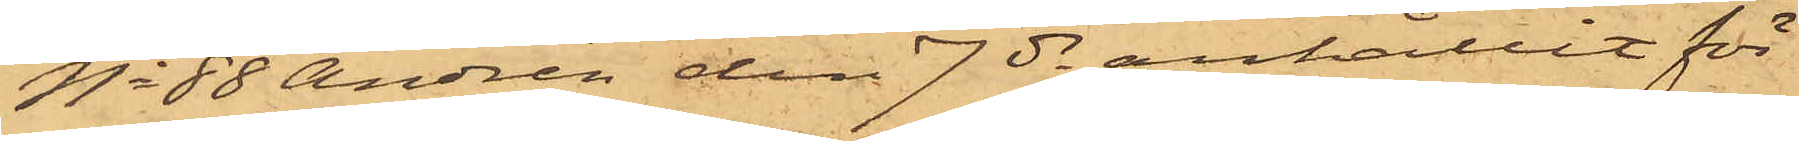No 88 Andrén den 7 ds anhållit för
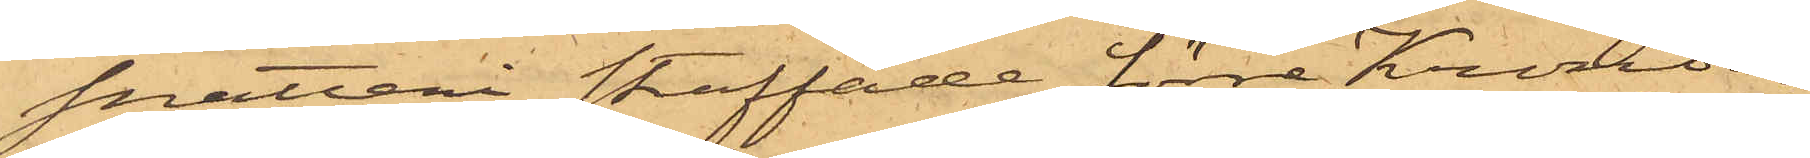snatteri straffade förre Kronoar¬
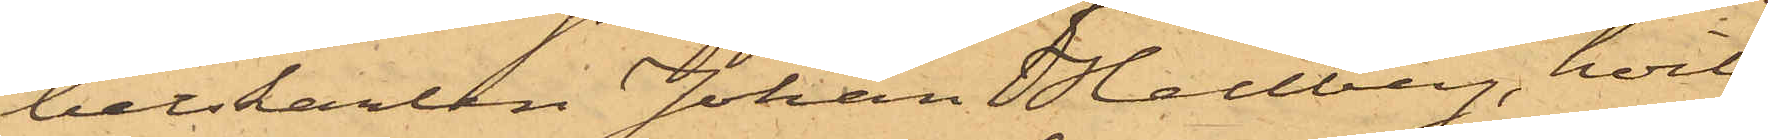betskarlen Johan Hellberg, hvil¬
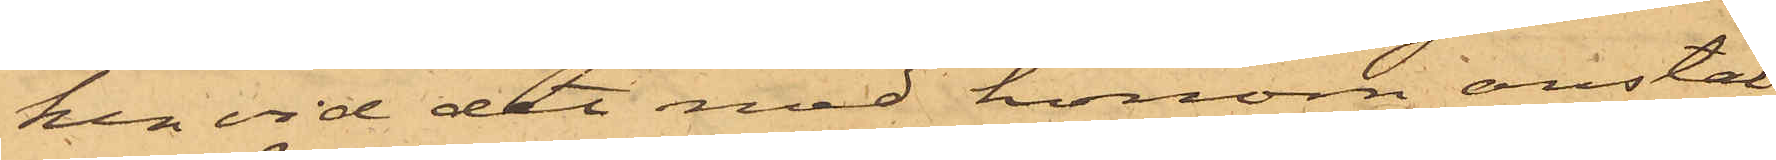ken vid det med honom anstäl¬
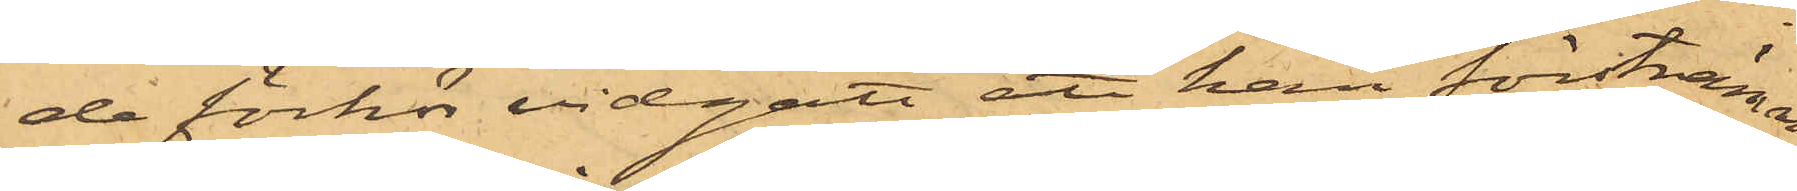da förhör vidgått att han förstnämn¬
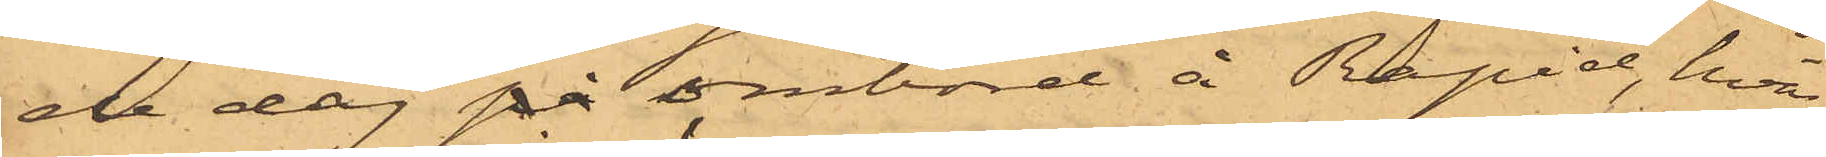de dag på ombord å Rapid, hvar¬
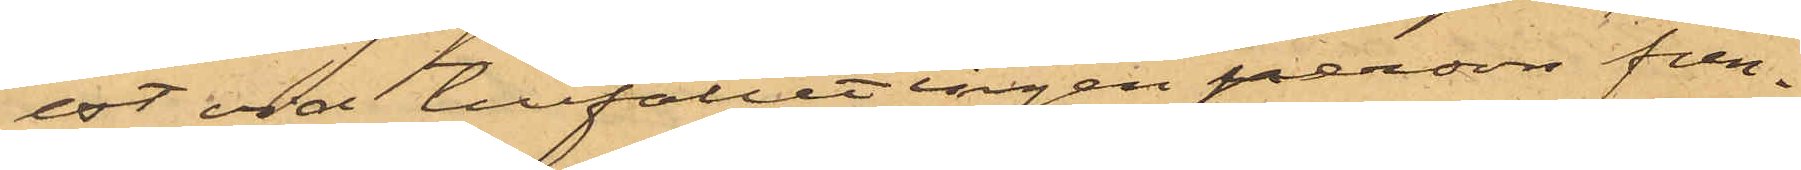est vid tillfället ingen person fun¬
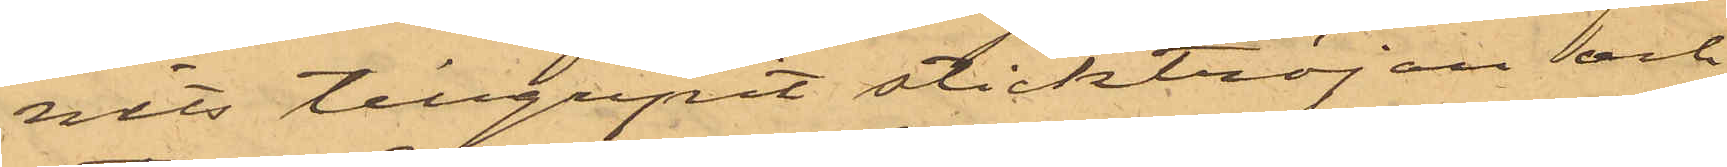nits tillgripit sticktröjan och
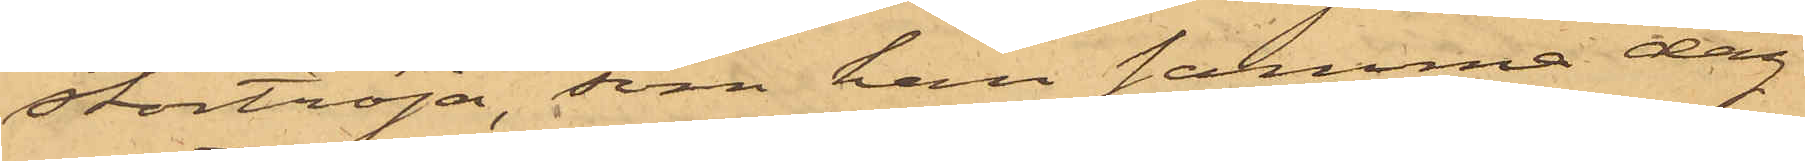stortröja, som han samma dag
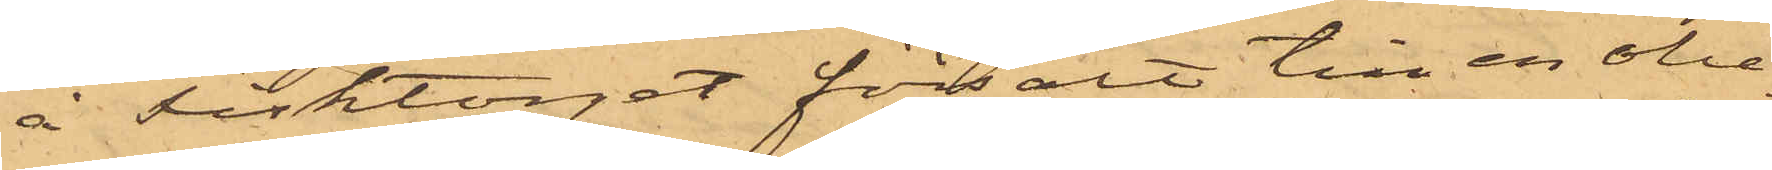å Fisktorget försålt till en obe¬
